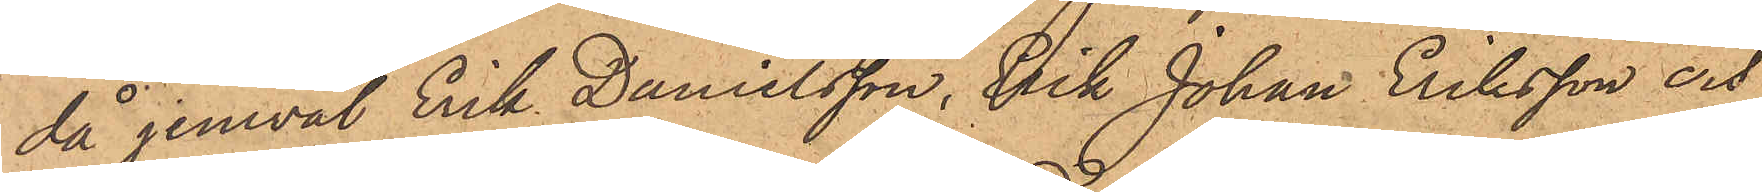då jemväl Erik Danielsson, Erik Johan Eriksson och
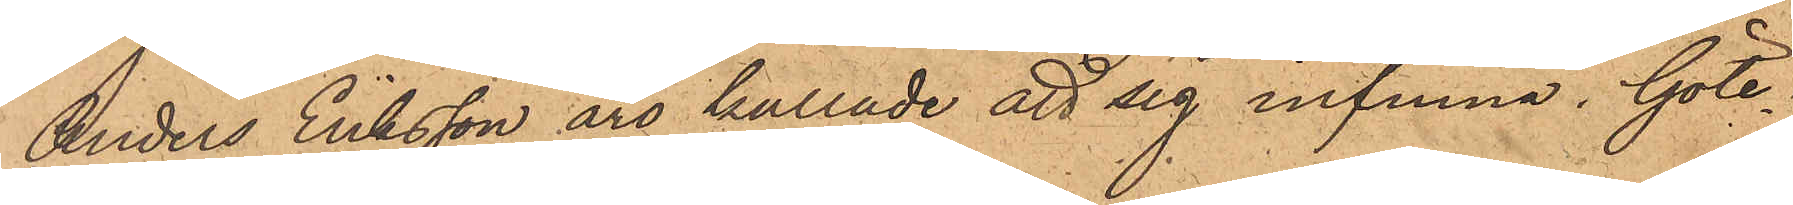Anders Eriksson äro kallade att sig infinna. Göte¬
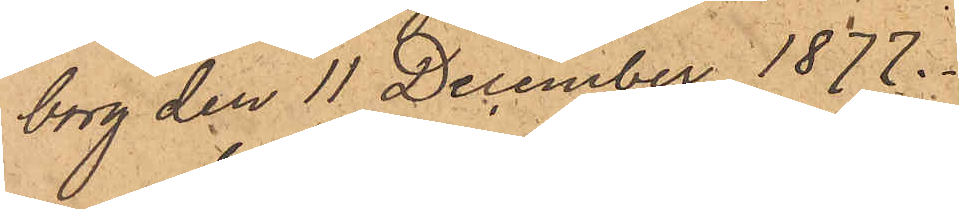borg den 11 December 1877.
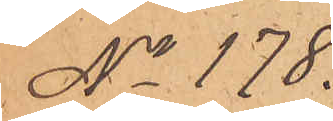No 178.
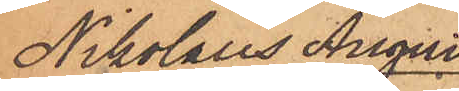Nikolaus August
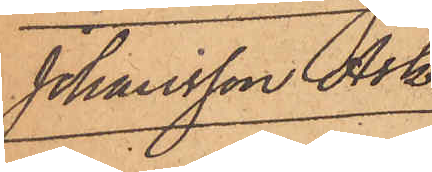Johansson Ask.
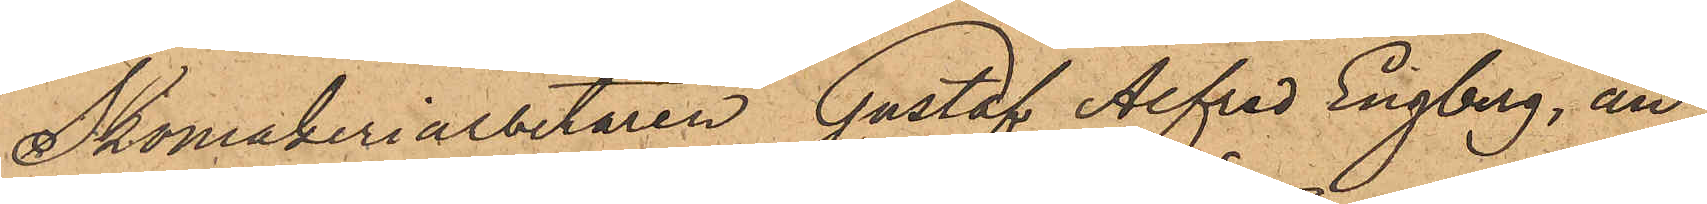Skomakeriarbetaren Gustaf Alfred Engberg, an¬
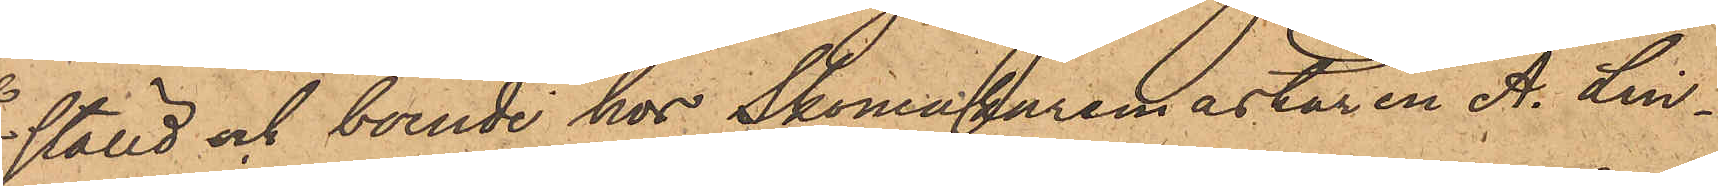ställd och boende hos Skomakaremästaren A. Lin¬
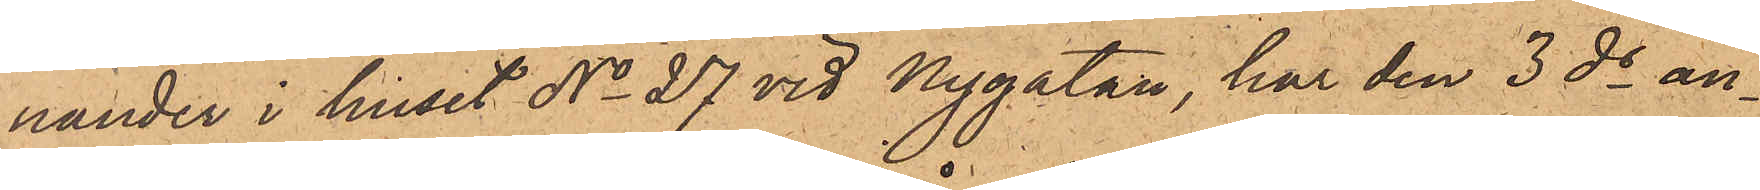nander i huset No 27 vid Nygatan, har den 3 ds an¬
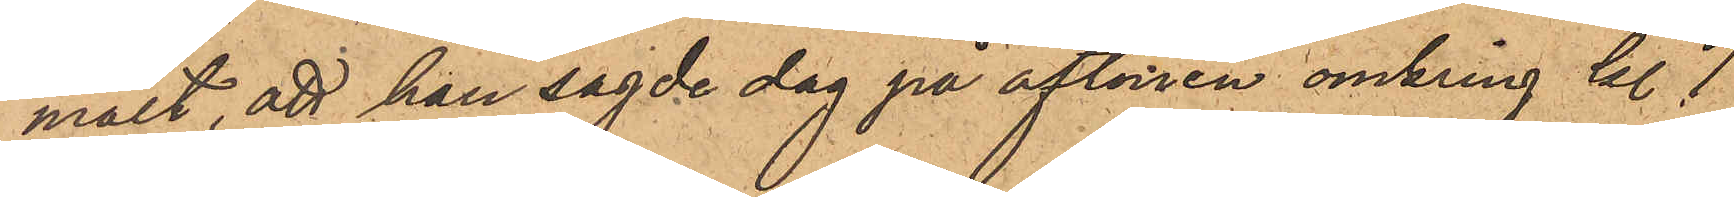mält, att han sagde dag på aftonen omkring kl. 7
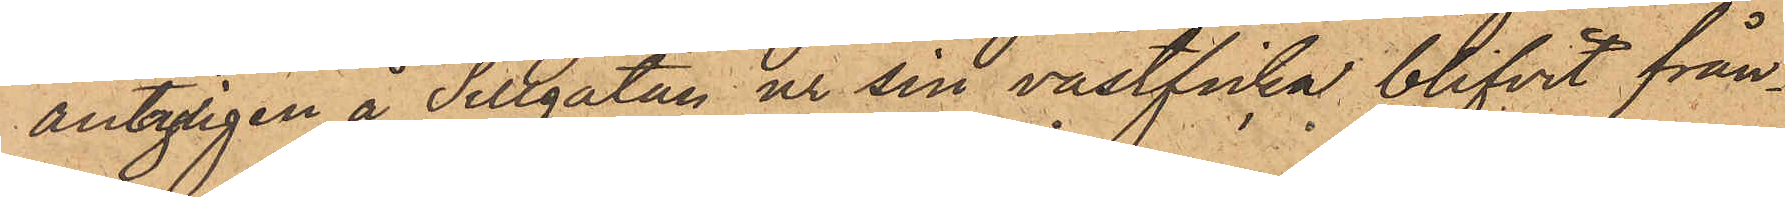antagligen å Sillgatan ur sin västficka blifvit från¬
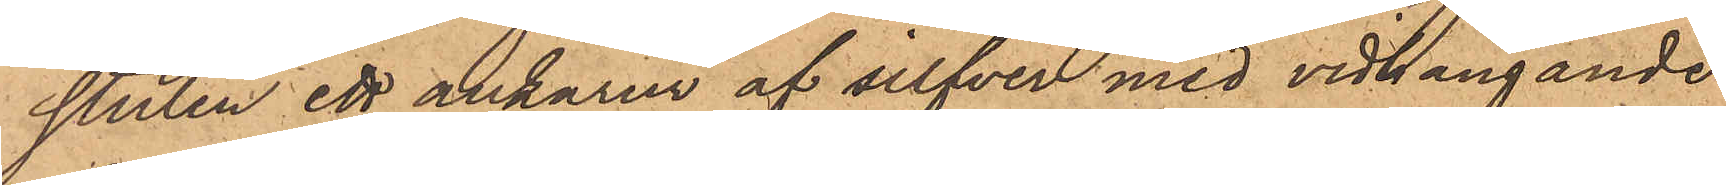stulen ett ankarur af silfver med vidhängande
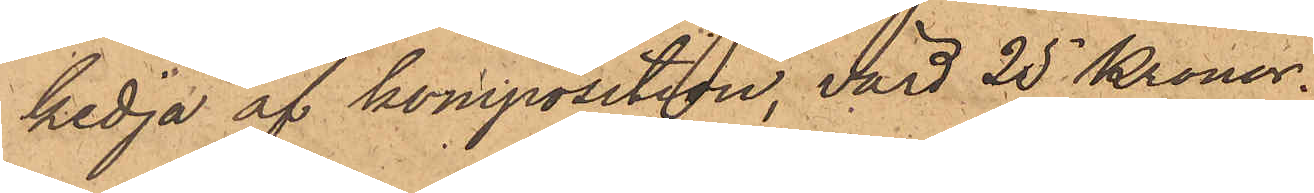kedja af komposition, värd 25 Kronor.
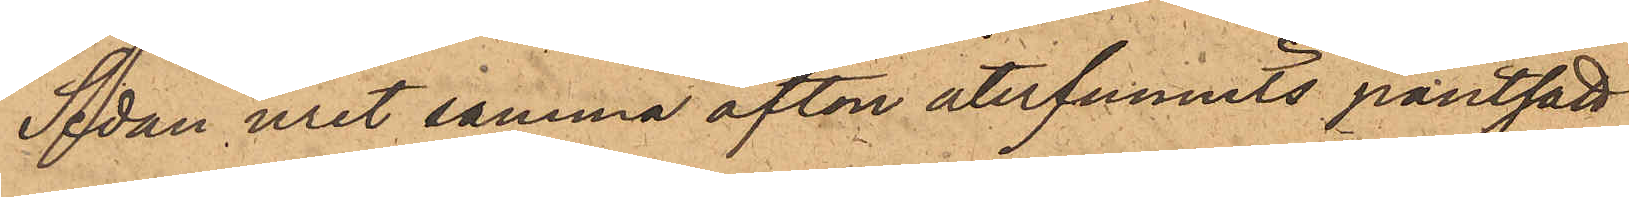Sedan uret samma afton återfunnits pantsatt
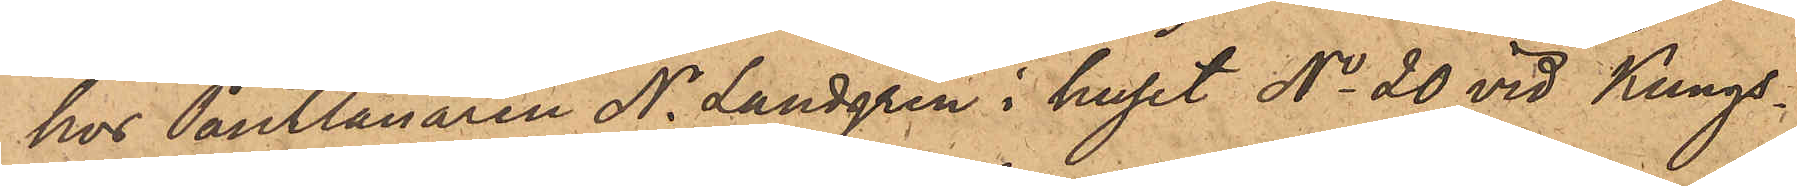hos Pantlånaren N. Landgren i huset No 20 vid Kungs¬
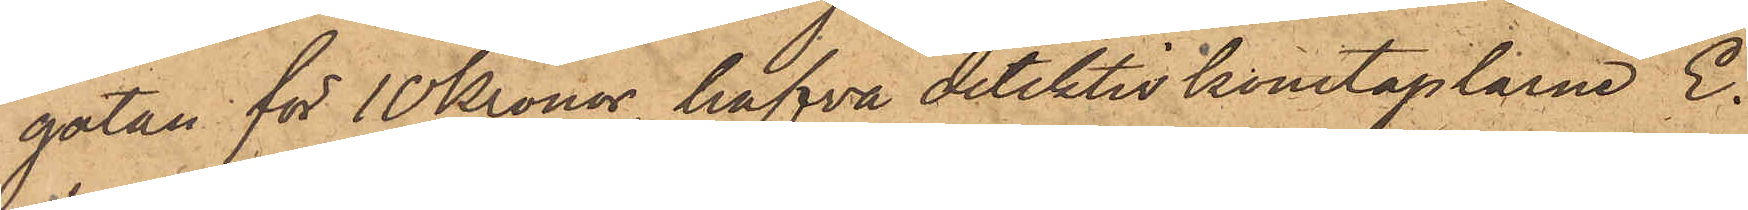gatan för 10 Kronor, hafva detektivkonstaplarne E.
